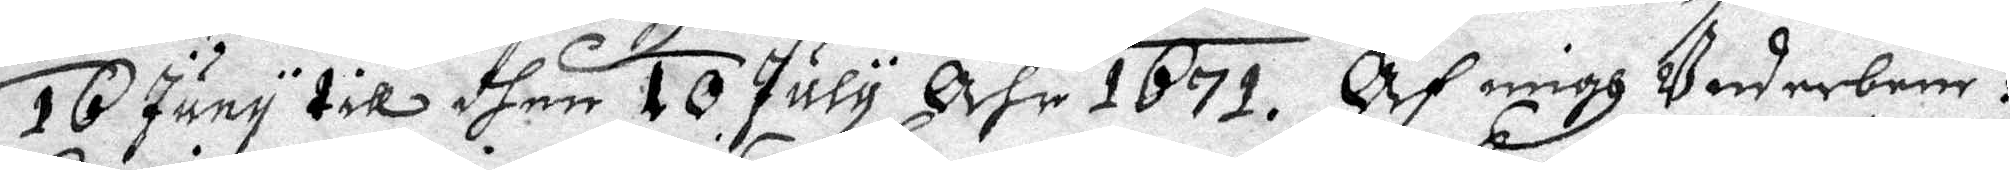15 Juny till dhen 10 July åhr 1671. Af migh Underbem:te
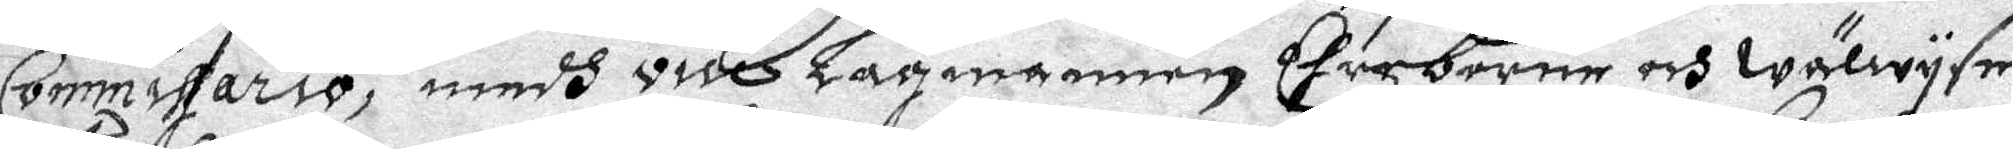Commissario, medh vice Lagmannen Ehreborne och wälwyse
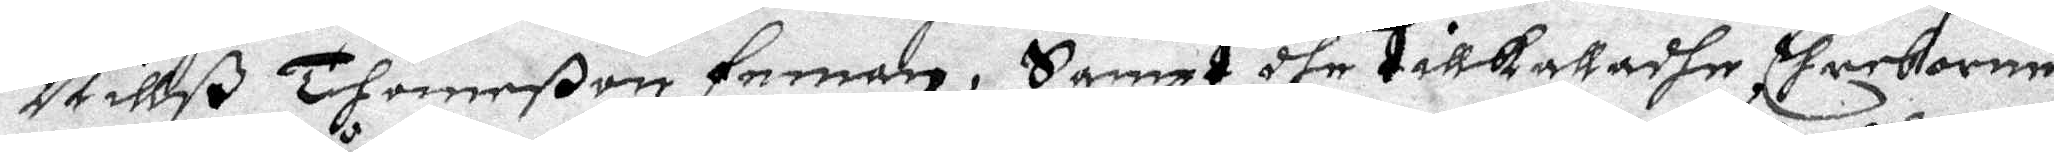Nillß Thomeßon Feman, Sampt dhe tillkattadhe Ehreborne
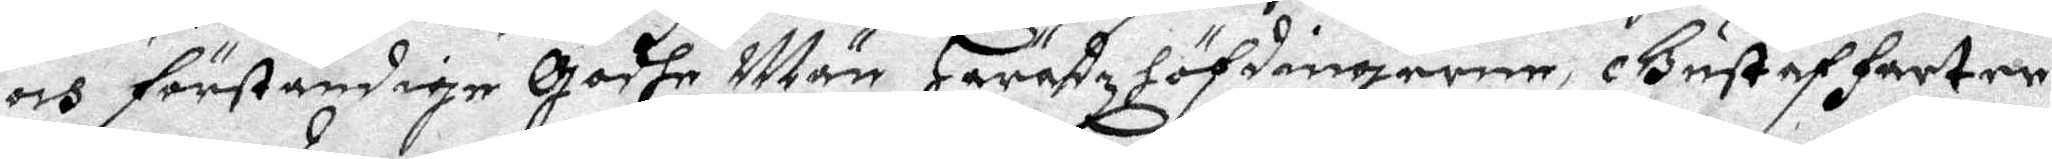och färståndige Godhe Män Häradzhöfdingerne, Gustaf Farter
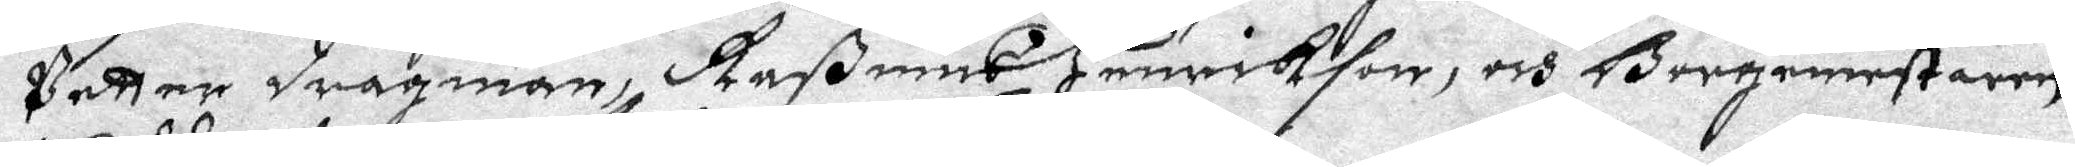Petter dragman, Raßmus Henrikson, och Borgmestaren
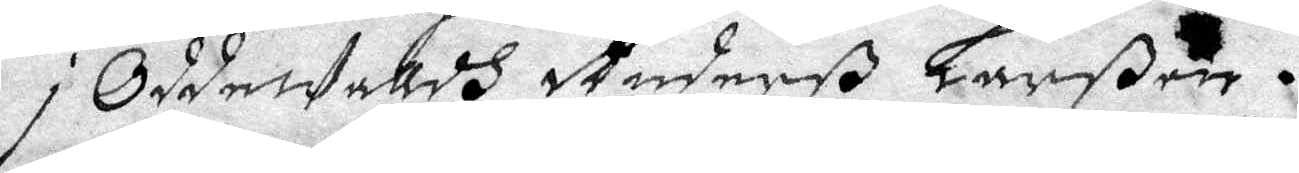i OddeWallds Andersß Larßon.
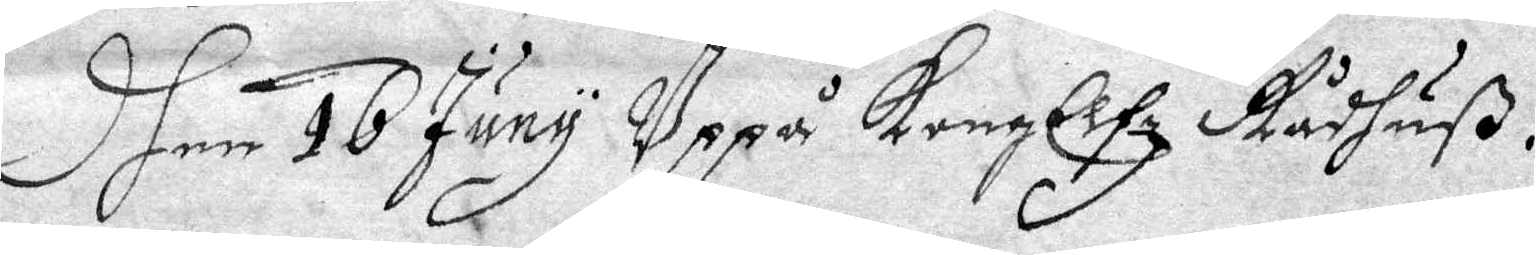Dhen 16 Juny Uppå Kongl Elfz Rådhuß.
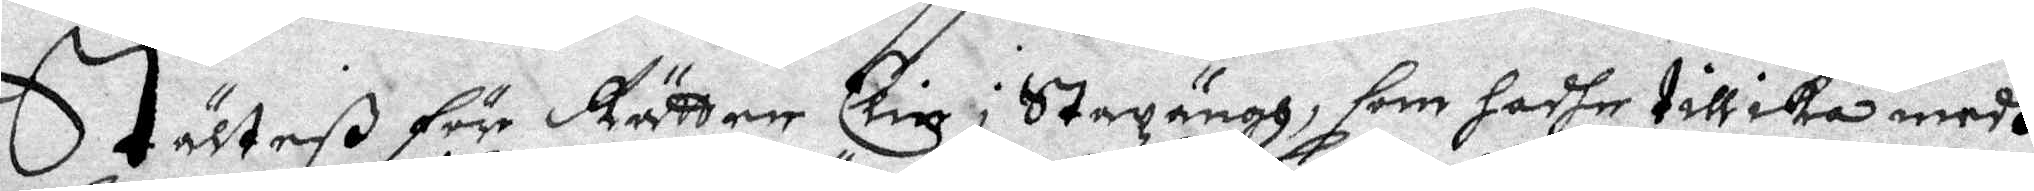Stälteß för Rätten elin i Stazäng, som hadhe tillika medh
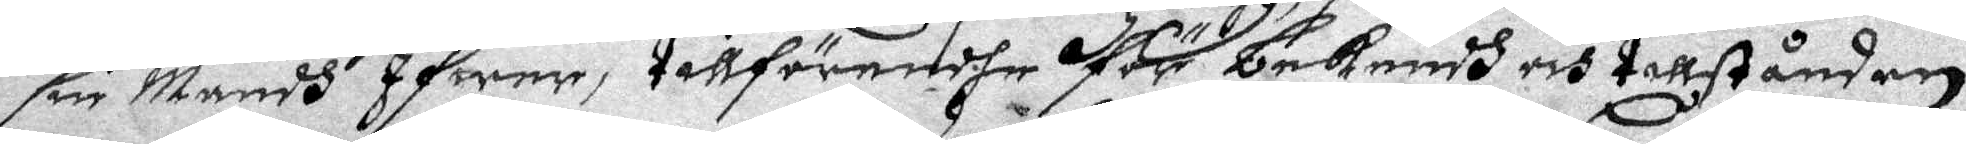sin Mands Ifwar, tillförendehe för bekendh och tillståndan
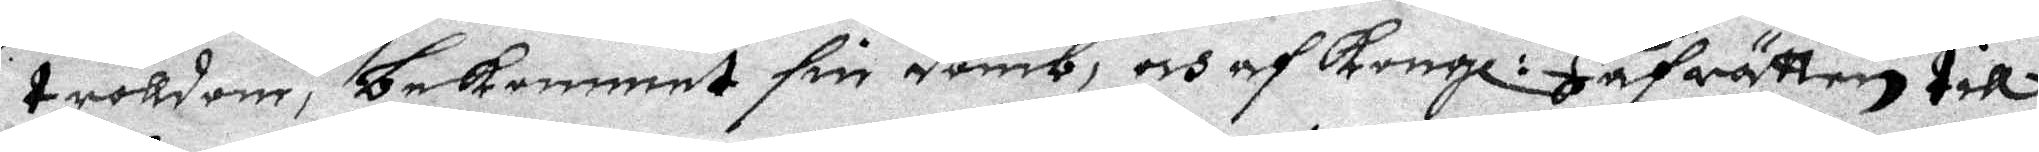trolldom, bekommet sin domb, och af Kongl: Håfrätten till
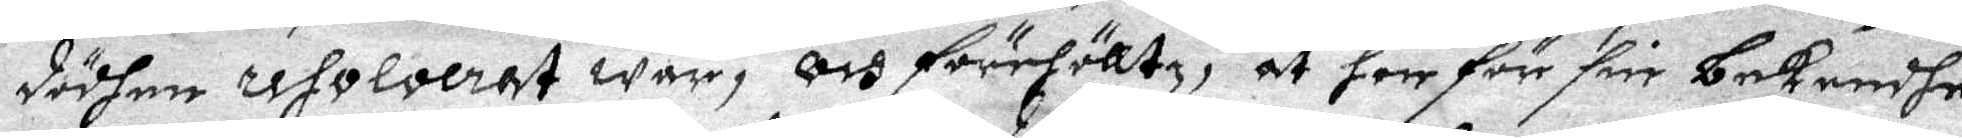dödhen resolverat war, och förehölltz, at hon för sin bekendhe
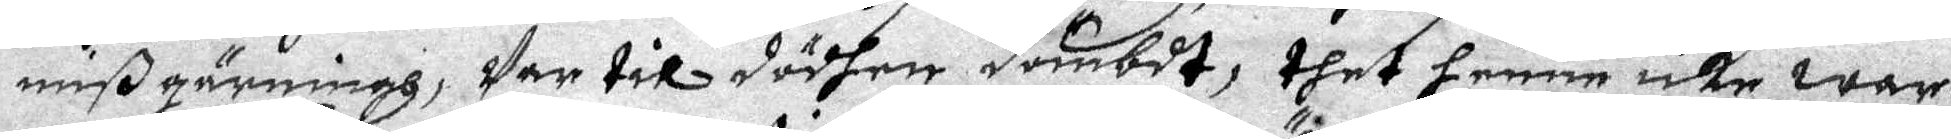mißgärning, War til dödhen dömbdt, thet henne icke war
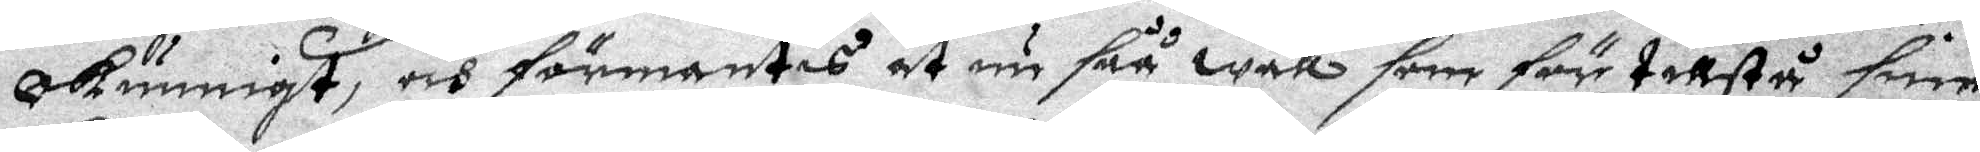okunnigt, och förmantes at nu såå wäll som förr tillstå sine
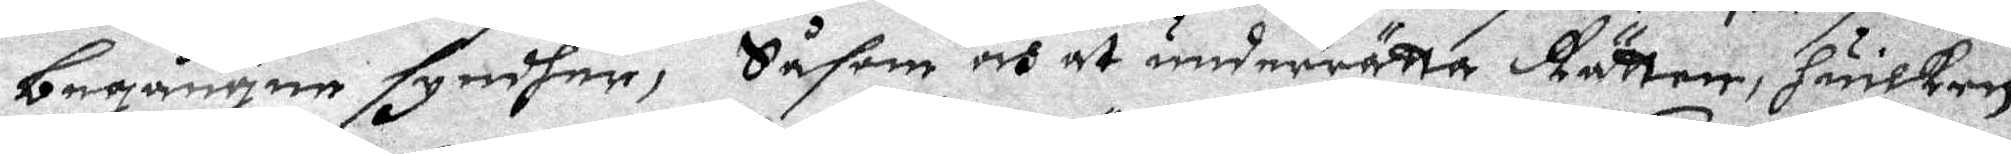begångne synder, Såsom och at underrätta Rätten, huilken
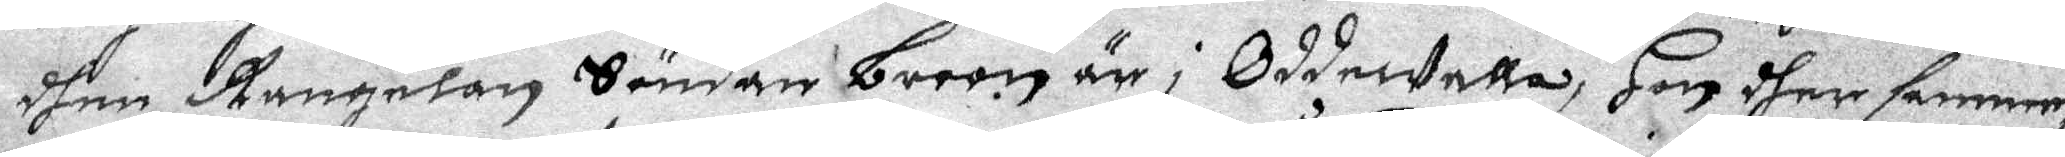dhen Rangelan Söndan Broon är i OddeWalla, Hon dher samme,
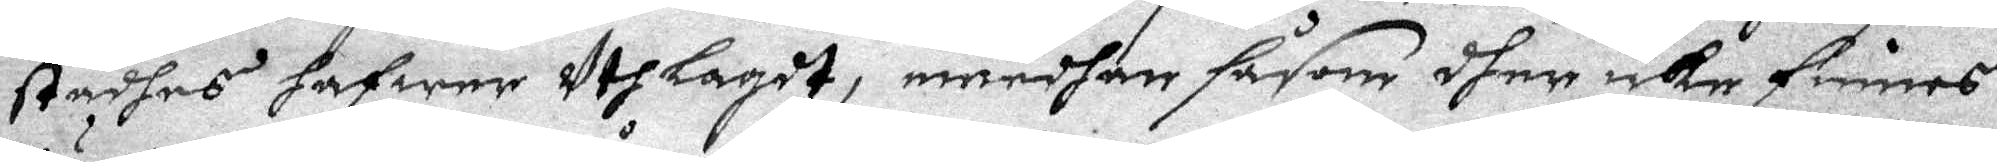Städhes hafwer uthlagit, emedhan såsom dher icke finnes
